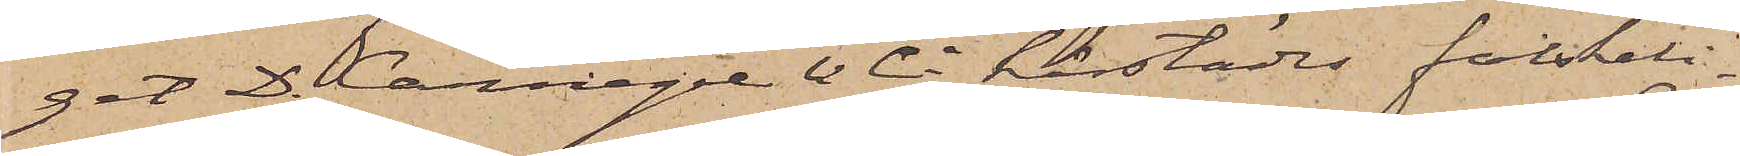get D. Carnegie & Co härstädes falskeli¬
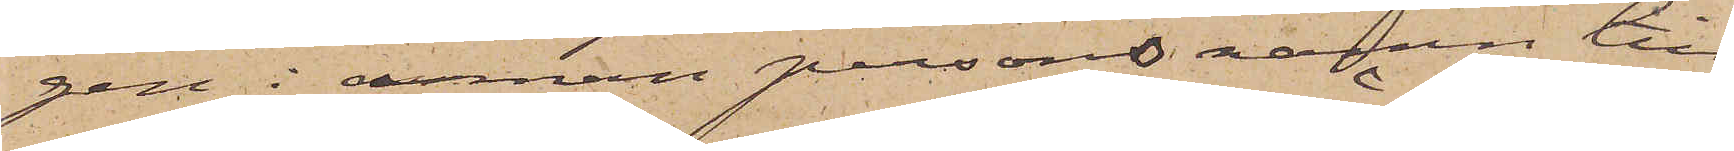gen i annan persons namn till¬
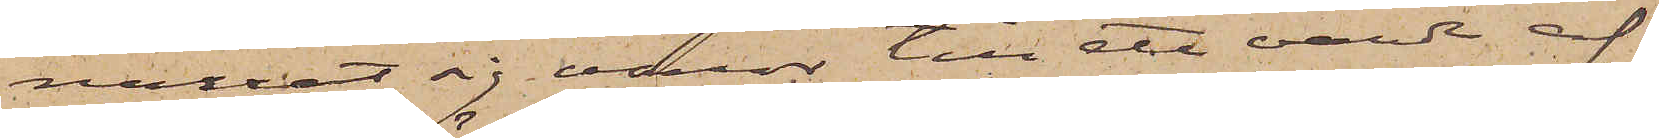narrat sig varor till ett värde af
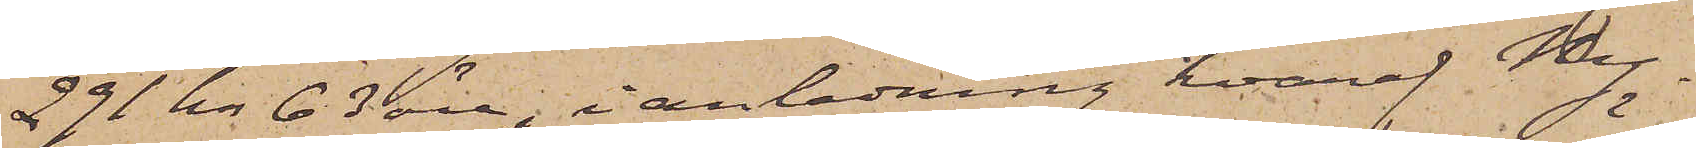291 kr 63 öre, i anledning hvaraf Ny¬
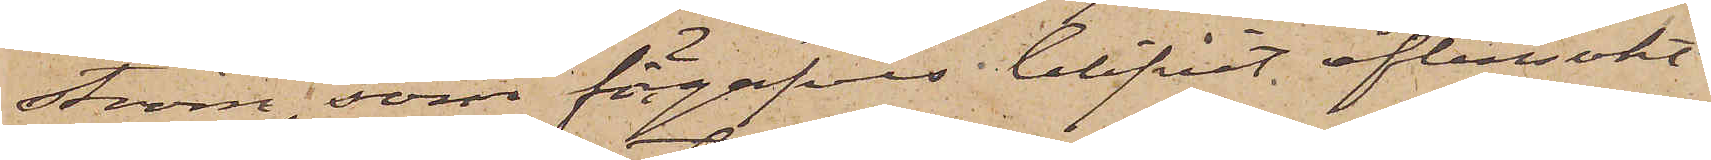ström, som förgäfves blifvit eftersökt
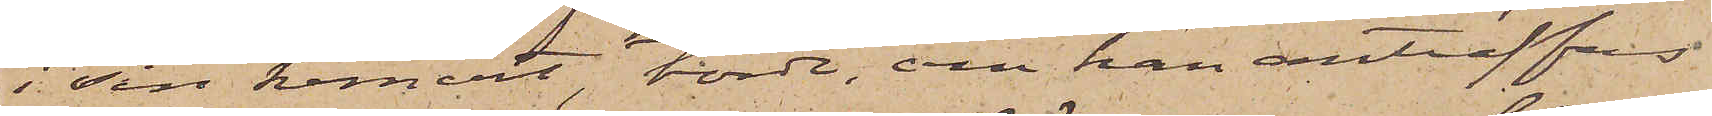i sin hemort, torde, om han anträffas
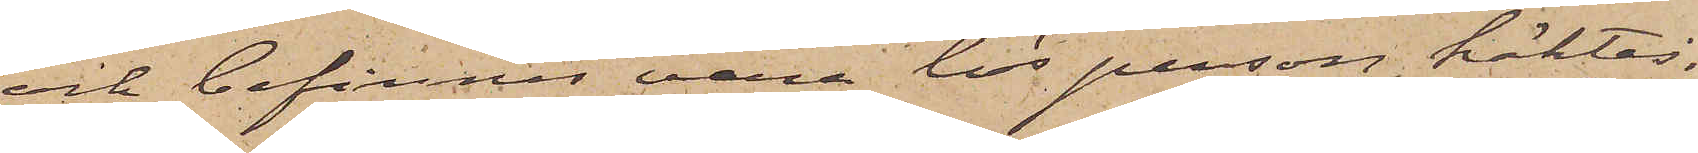och befinnes vara lös person, häktas,
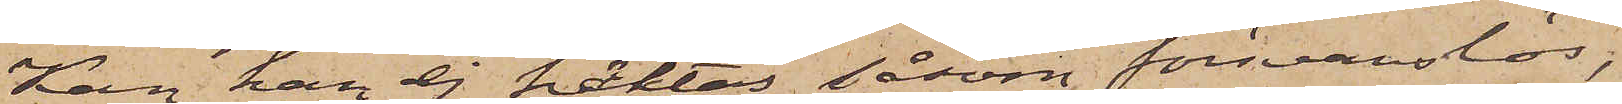Kan han ej häktas såsom försvarslös,
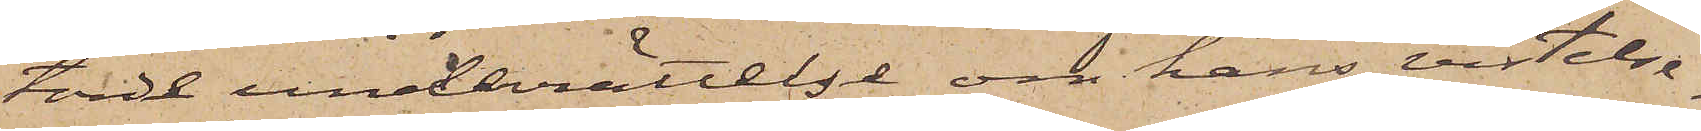torde underrättelse om hans vistelse¬
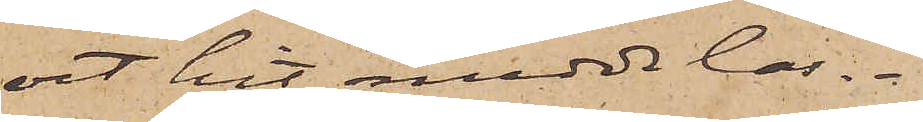ort hit meddelas.
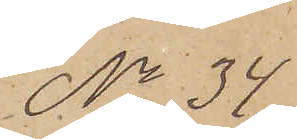No 34
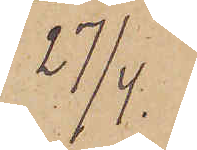27/4.
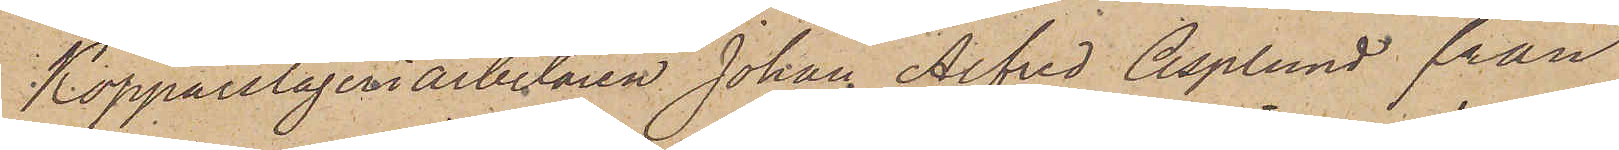Kopparslageriarbetaren Johan Alfred Asplund från
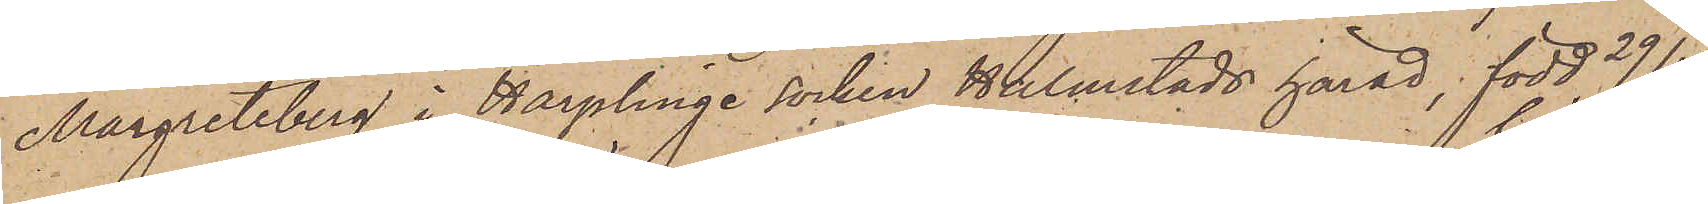Margreteberg i Harplinge socken Halmstads härad, född 29/4
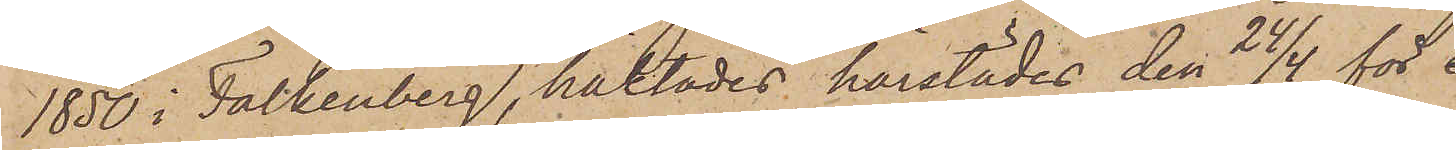1850 i Falkenberg, häktades härstädes den 24/4 för 
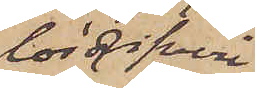lösdrifveri
